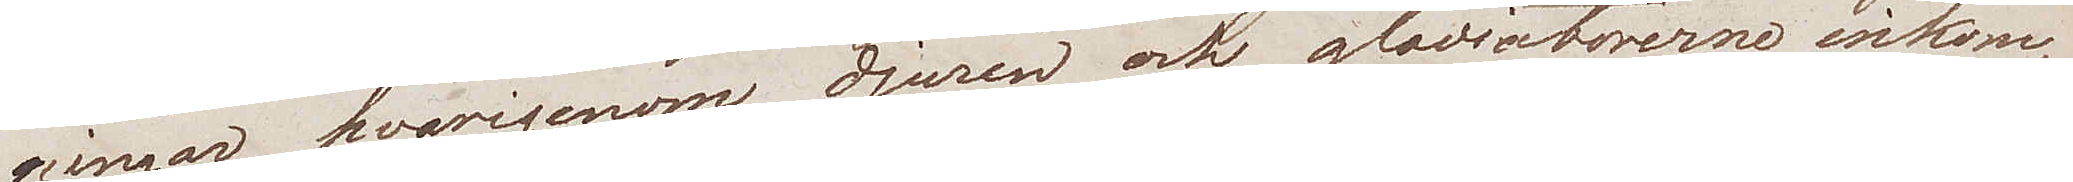ningar hvarigenom, djuren och gladiatorerne inkom¬
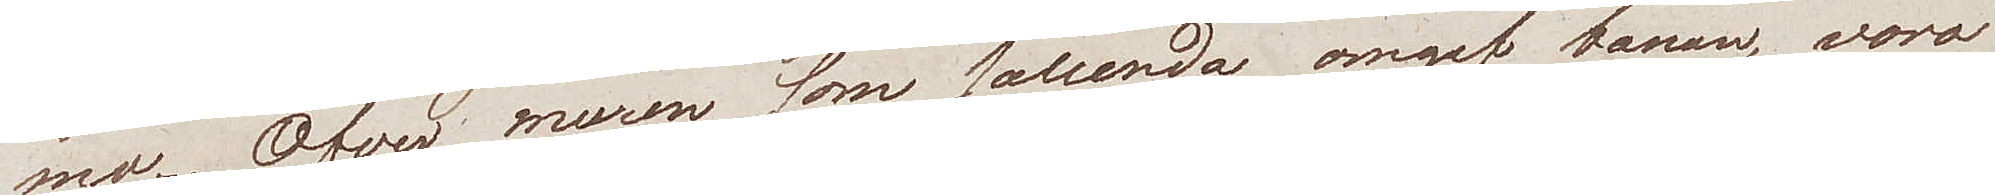mo. Öfver muren som sålunda omgaf banan, voro
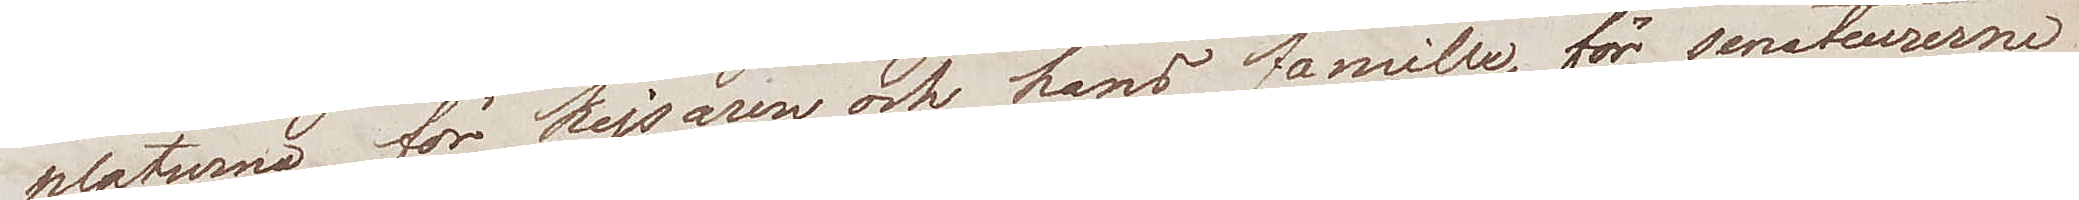platserna för kejsaren och hans famille, för senatorerne,
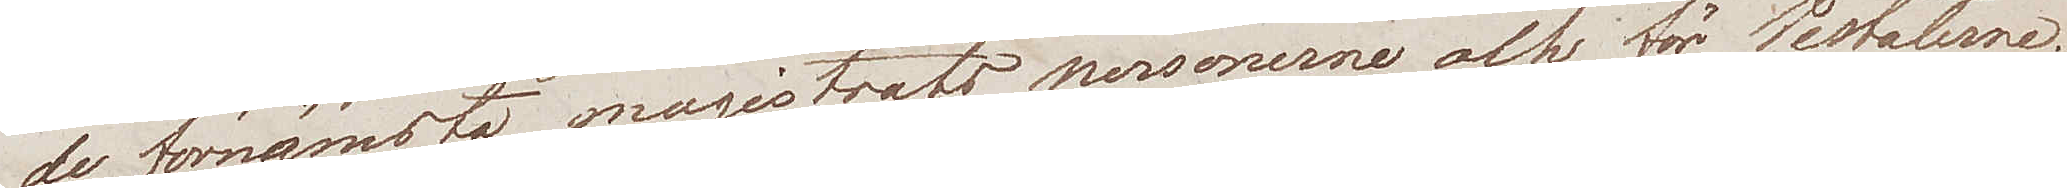de förnämsta magistrats personerne och för Vestalerne.
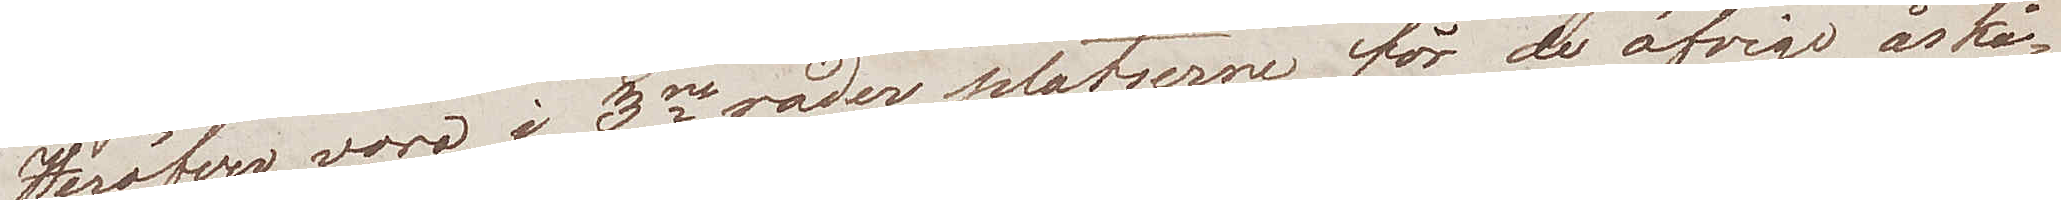Heröfver voro i 3ne rader platserne för de öfrige åskå¬
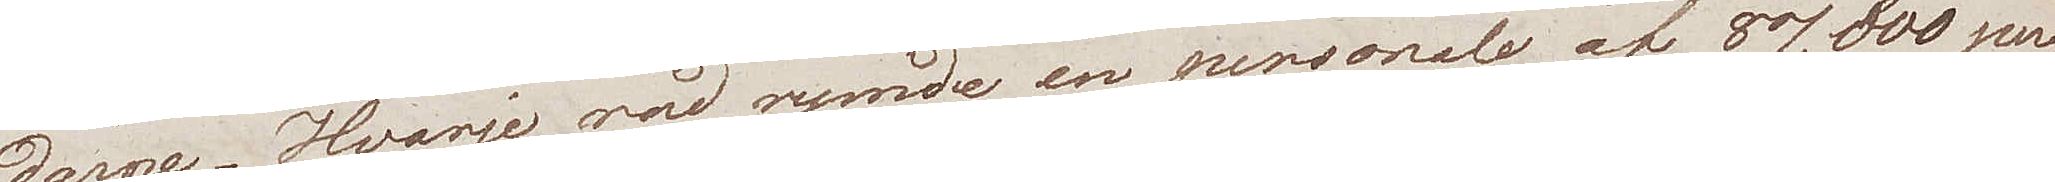darne. Hvarje rad rymde en personale af 87,000 per¬
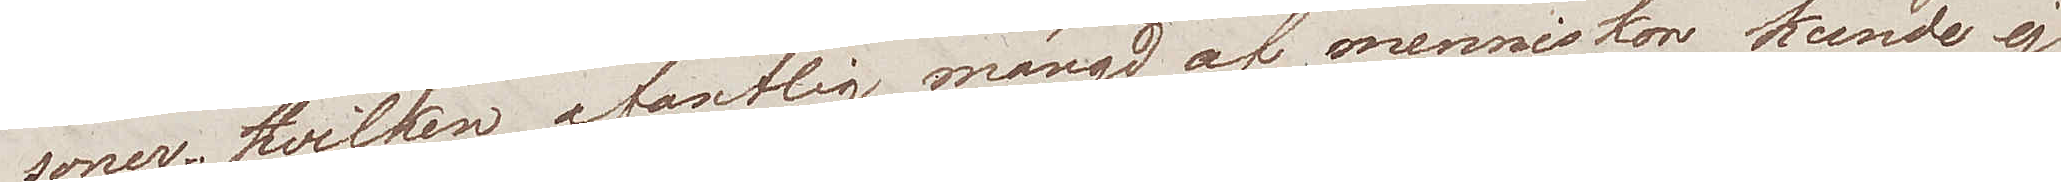soner. Hvilken ofantlig mängd af menniskor kunde ej
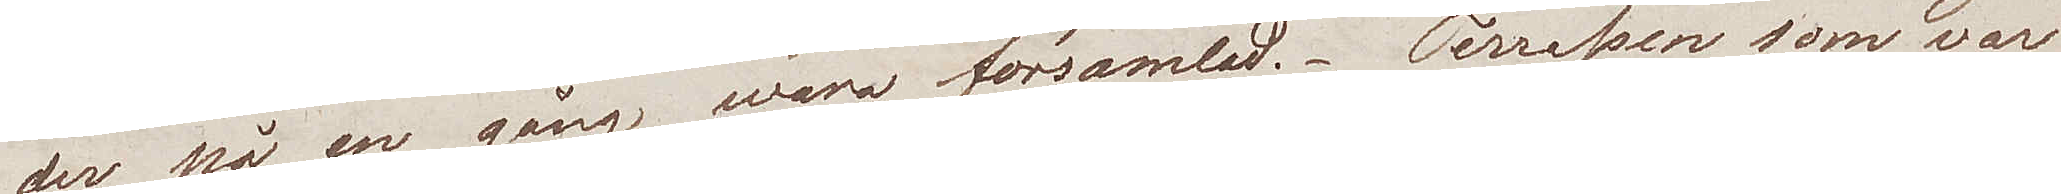der på en gång wara församlad. Terrassen som var
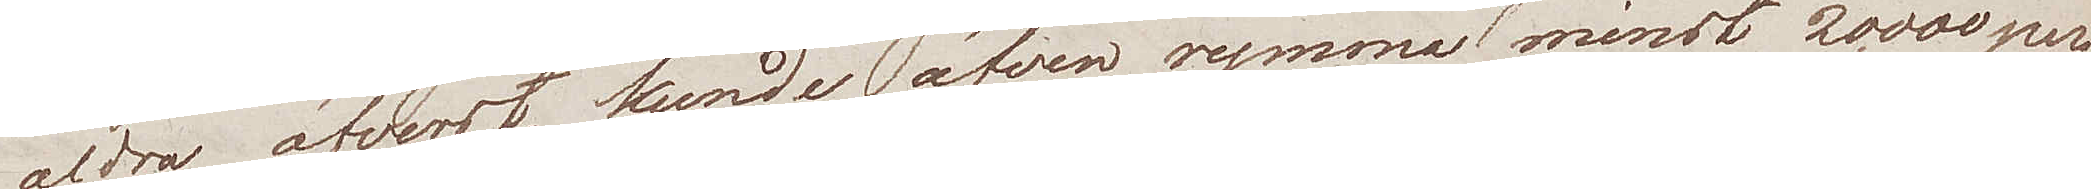aldra öfverst kunde äfven rymma minst 20,000 per¬
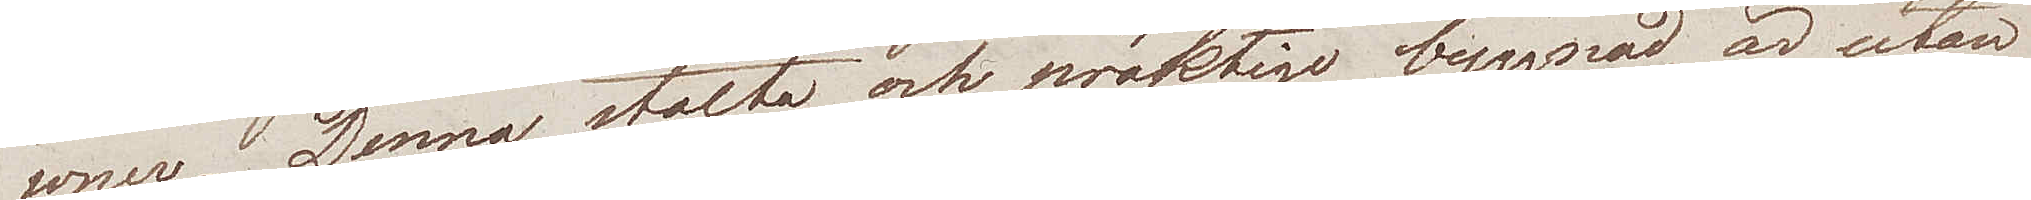soner. Denna stolta och präktiga byggnad, är utan
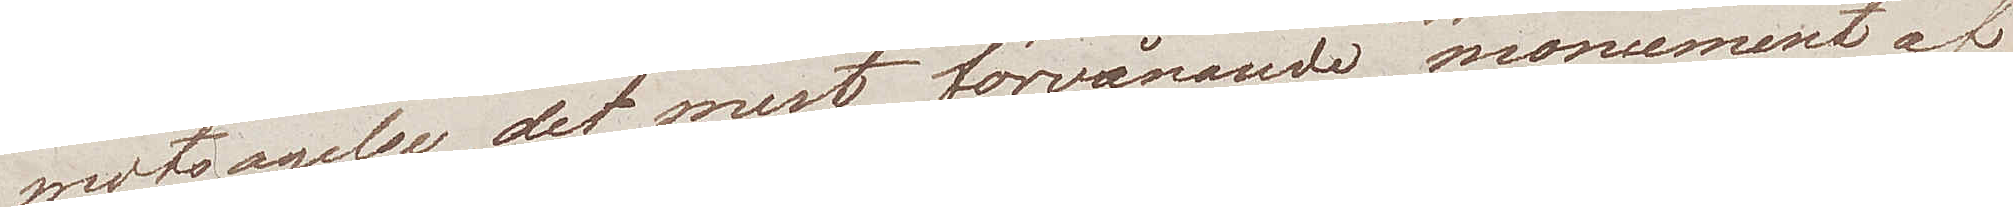motsägelse, det mest förvånande monumentet af
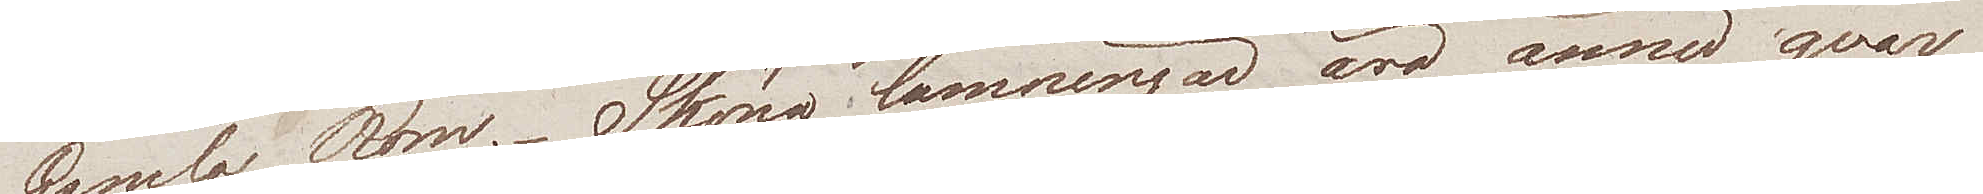Gamla Rom. Sköna lämningar äro ännu qvar
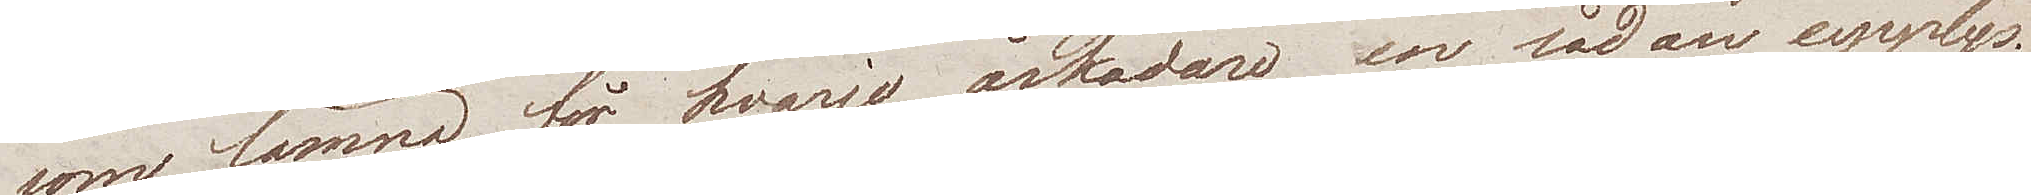som lämna för hvarje åskådare, en sådan upplys¬
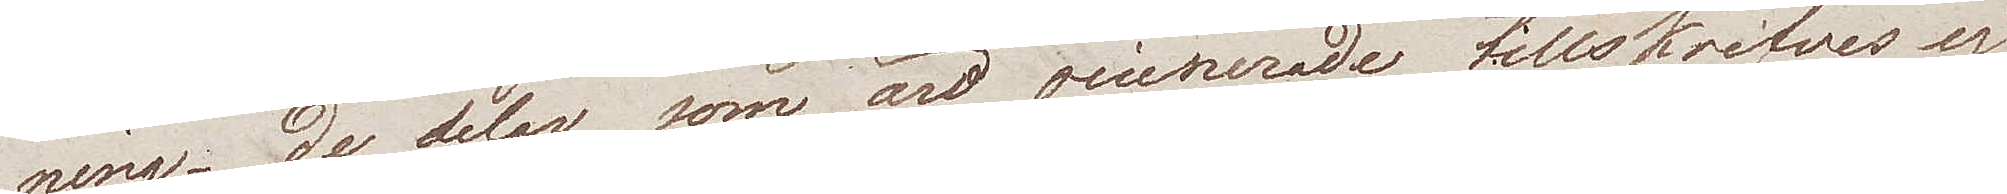ning. De delar som äro ruinerade, tillskrifves ej
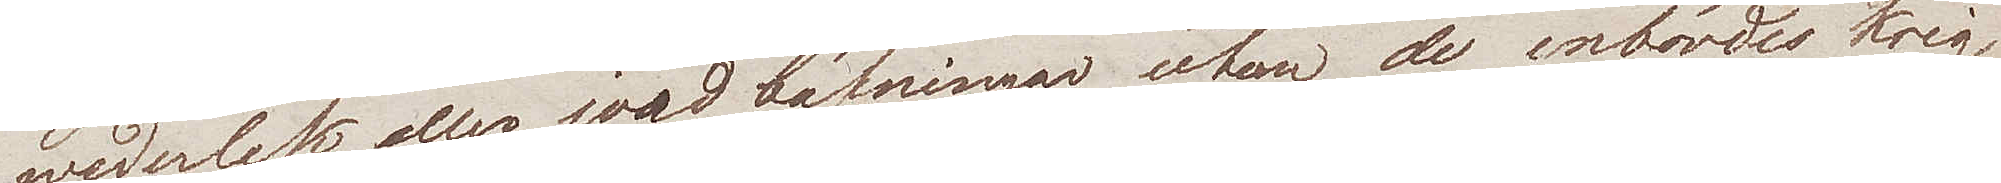wederlek, eller jordbäfningar utan de inbördes krig
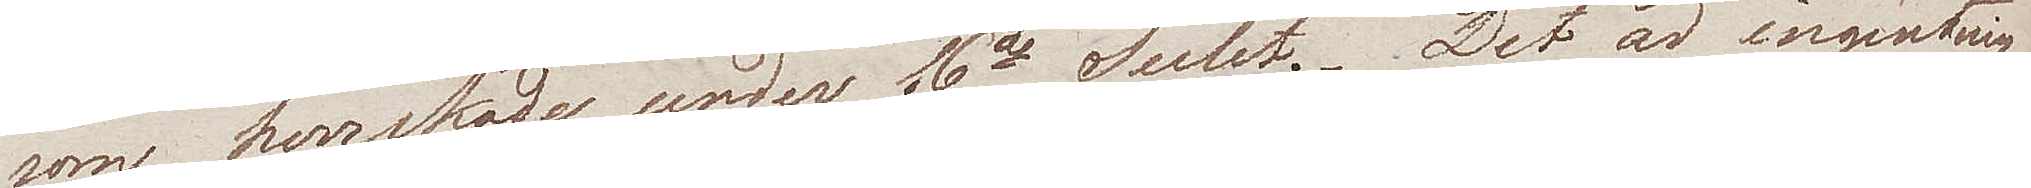som herrskade under 6te Seclet.  Det är ingenting
